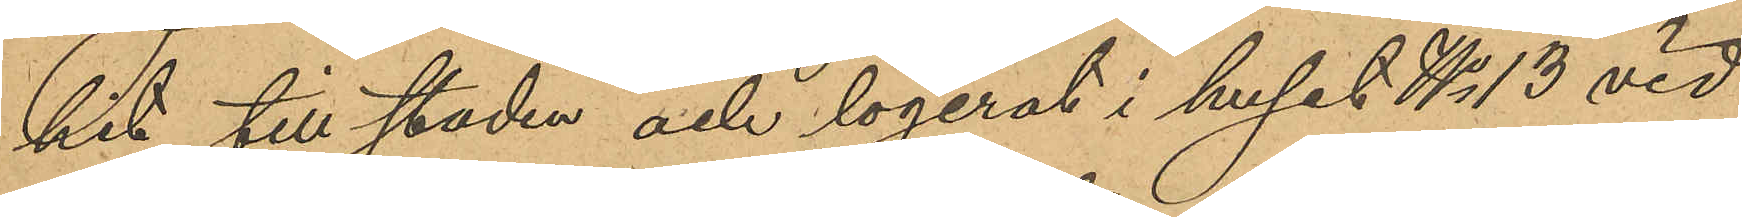hit till staden och logerat i huset No 13 vid
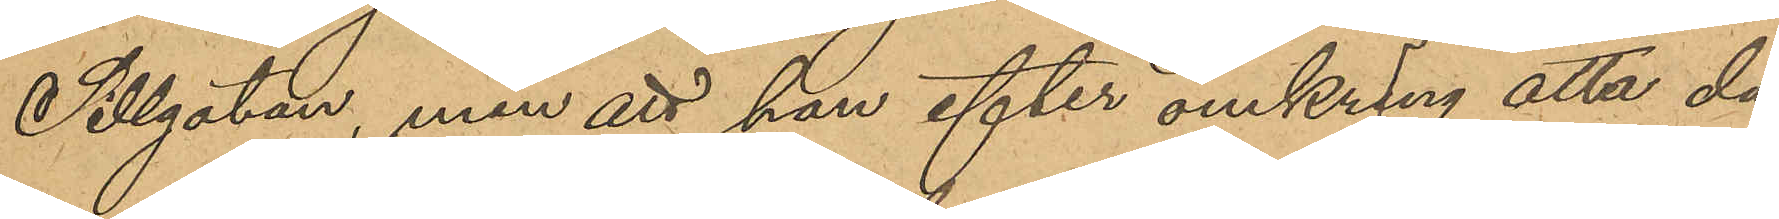Sillgatan, men att han efter omkring atta da¬
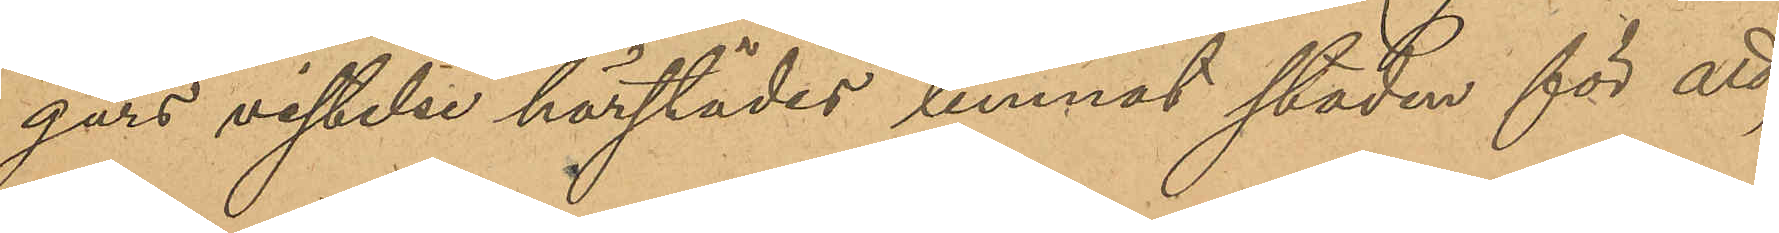gars vistelse härstädes lemnat staden för att,
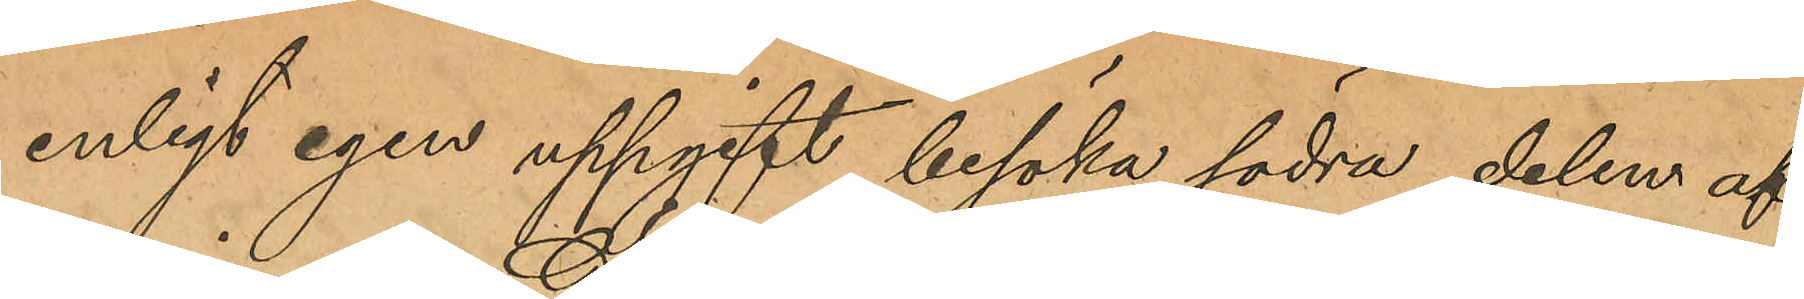enligt egen uppgift, besöka södra delen af
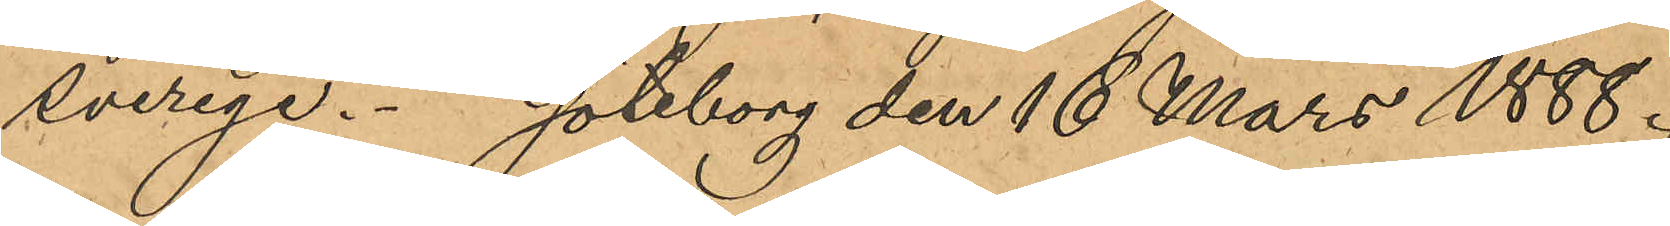Sverige. Göteborg den 16 Mars 1888.
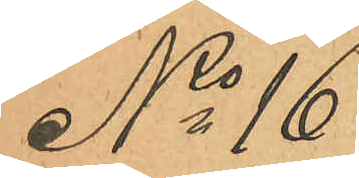No 16
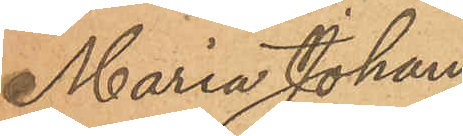Maria Johans¬
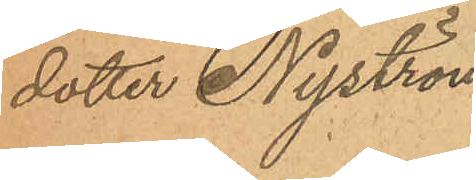dotter Nyström
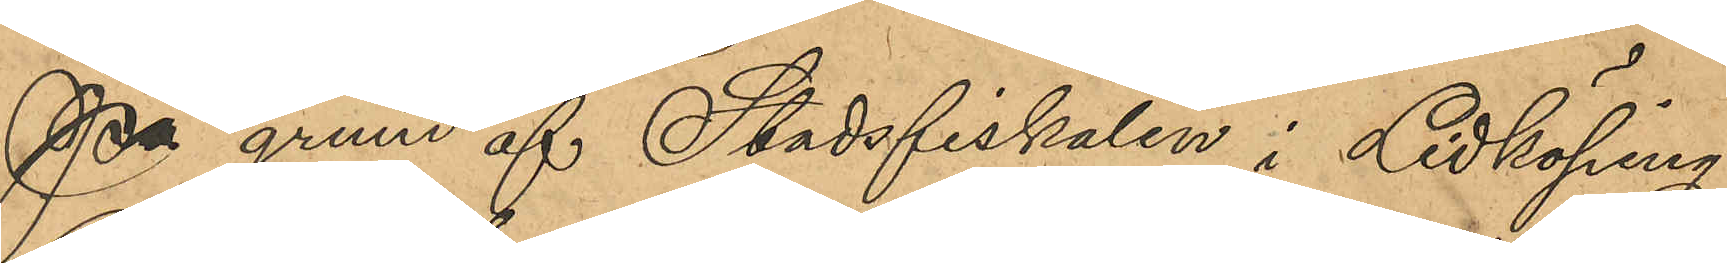På grund af Stadsfiskalen i Lidköping
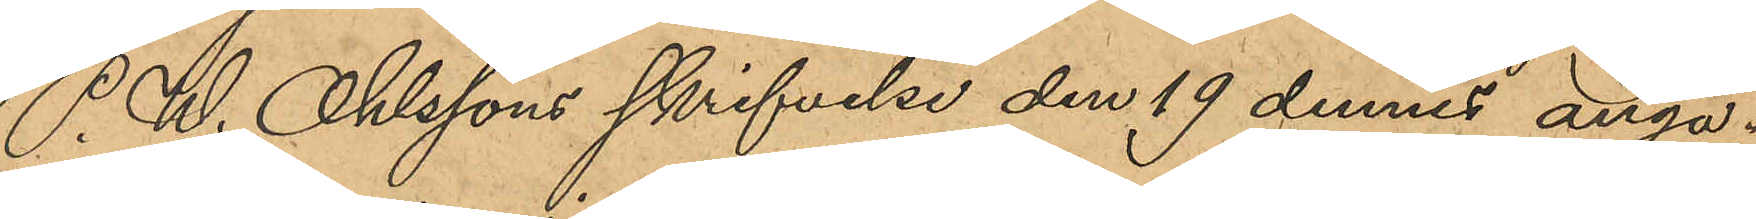P. W. Ohlssons skrifvelse den 19 dennes angå¬
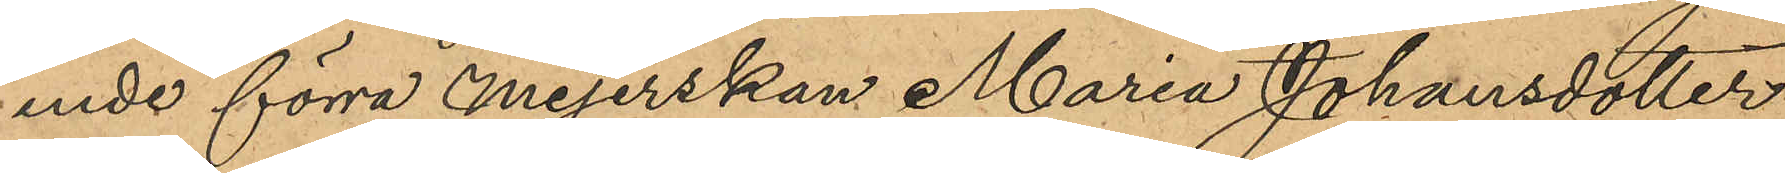ende förra mejerskan Maria Johansdotter
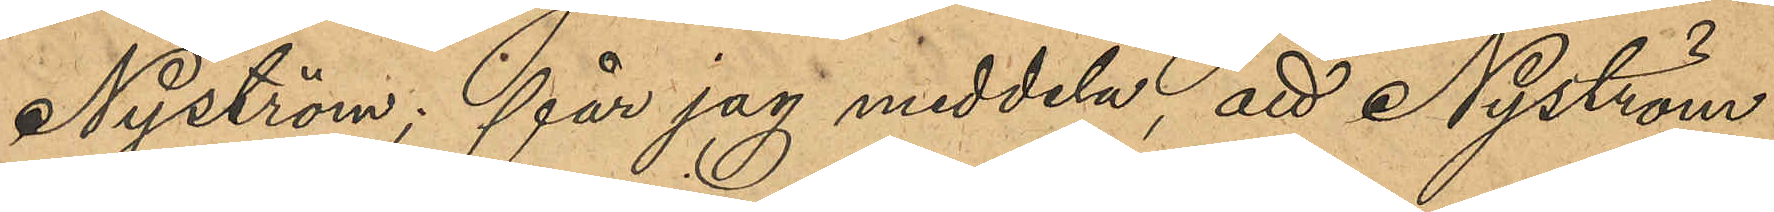Nyström; får jag meddela, att Nyström
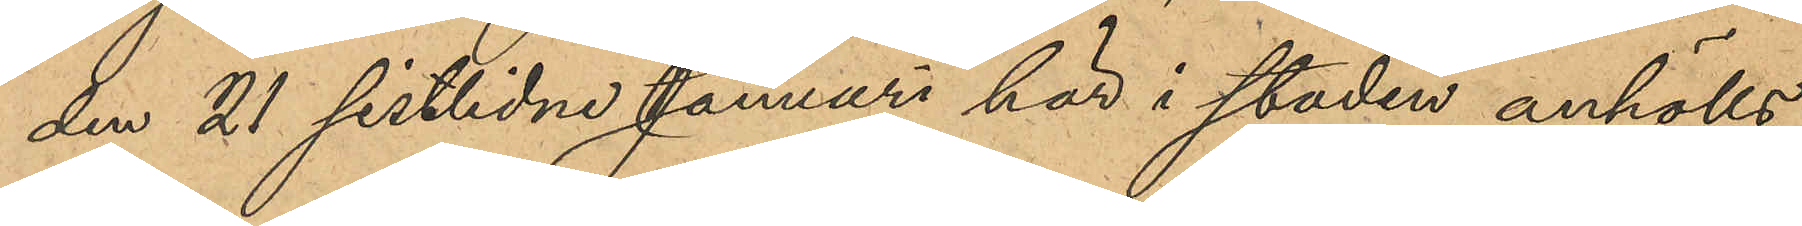den 21 sistlidne Januari här i staden anhölls
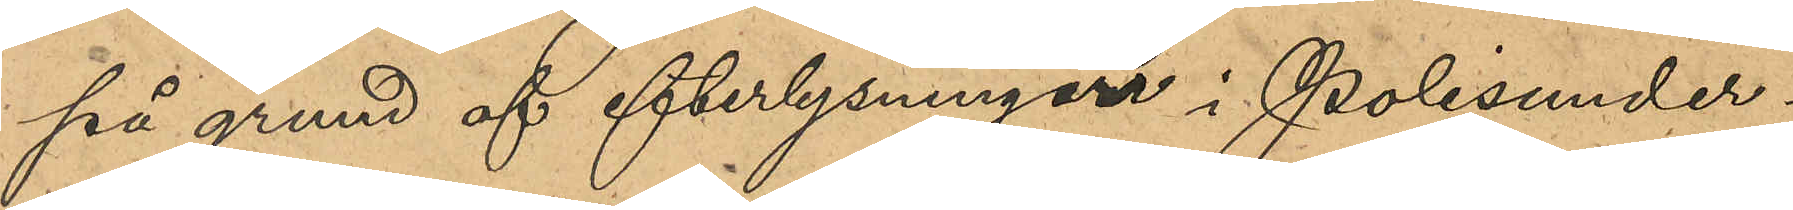på grund af efterlysningar i Polisunder¬
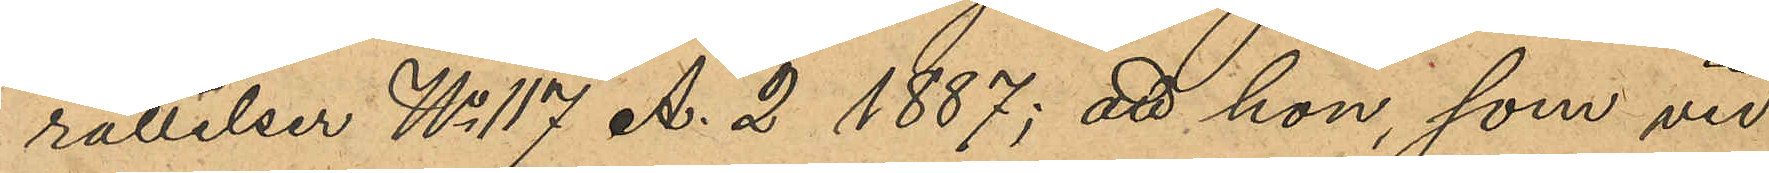rättelsen No 117 A.2 1887; att hon, som vid
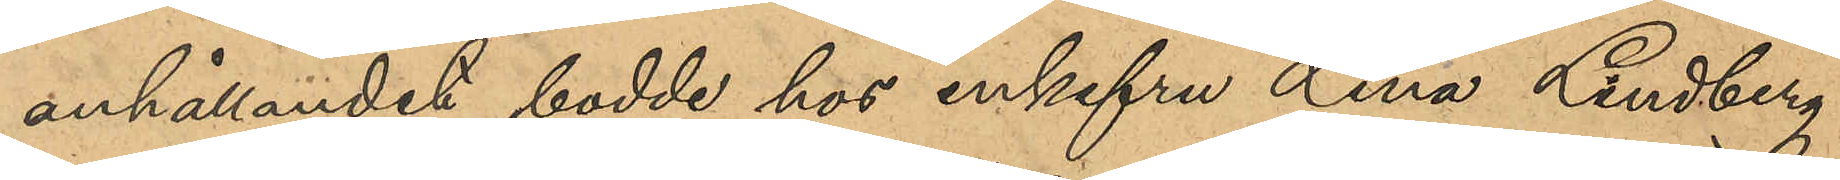anhållandet bodde hos enkefru Lina Lindberg,
